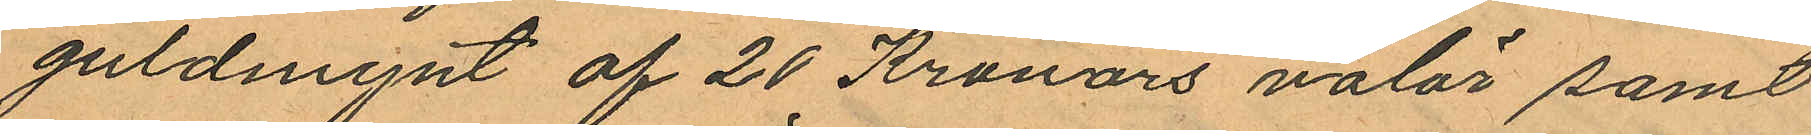guldmynt af 20 Kronors valör samt
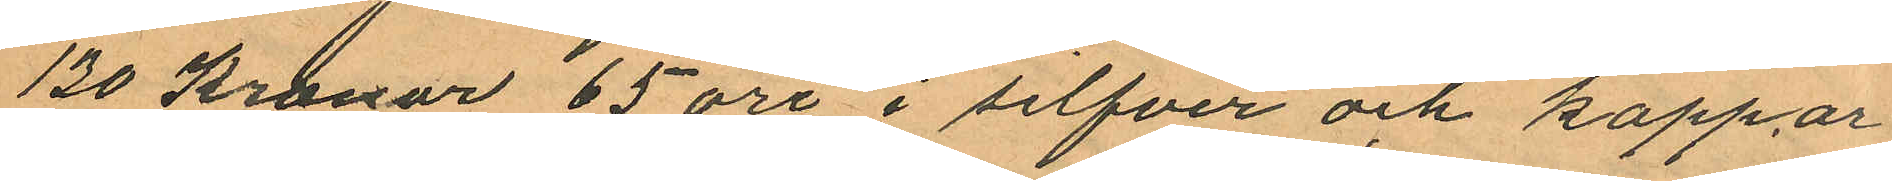130 Kronor 65 öre i silfver och koppar
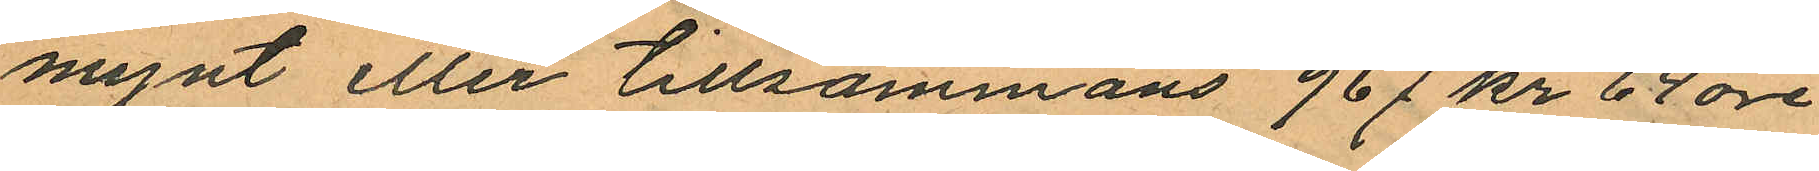mynt eller tillsammans 967 kr 64 öre
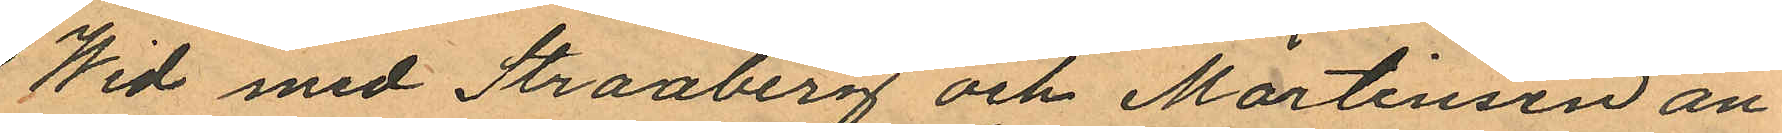Wid med Straaberg och Martinsen an¬
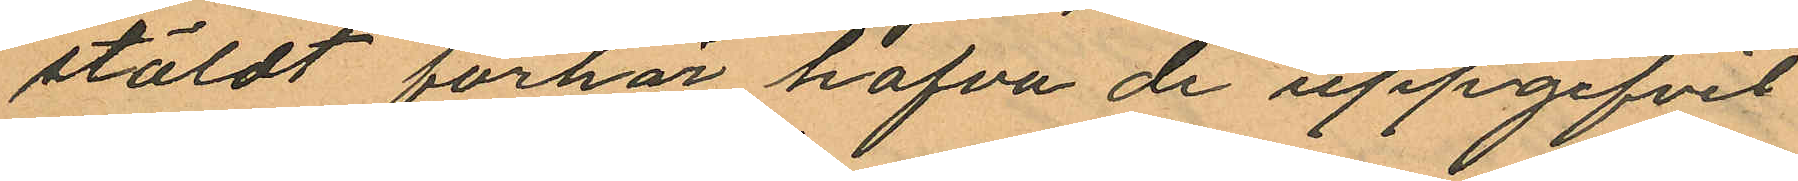stäldt förhör hafva de uppgifvit
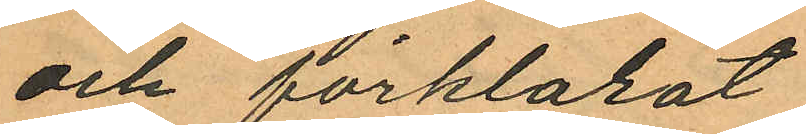och förklarat:
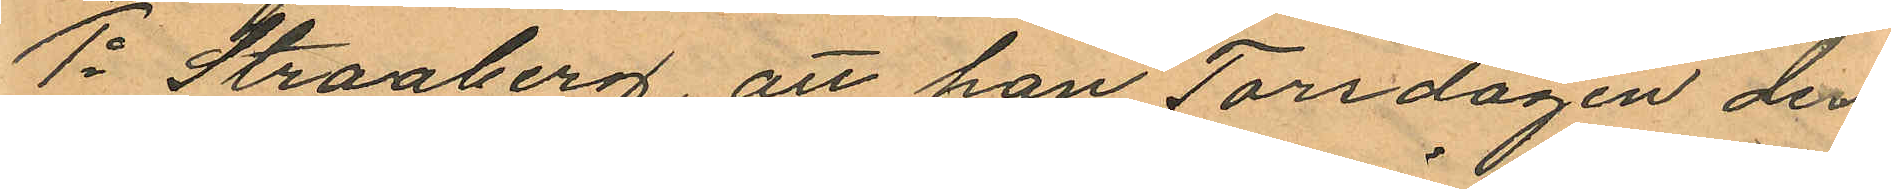1o Straaberg, att han Torsdagen den
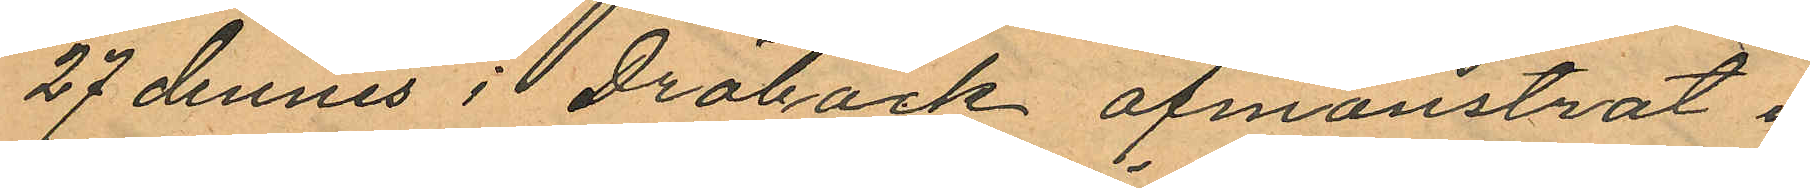27 dennes i Dröback afmönstrat i
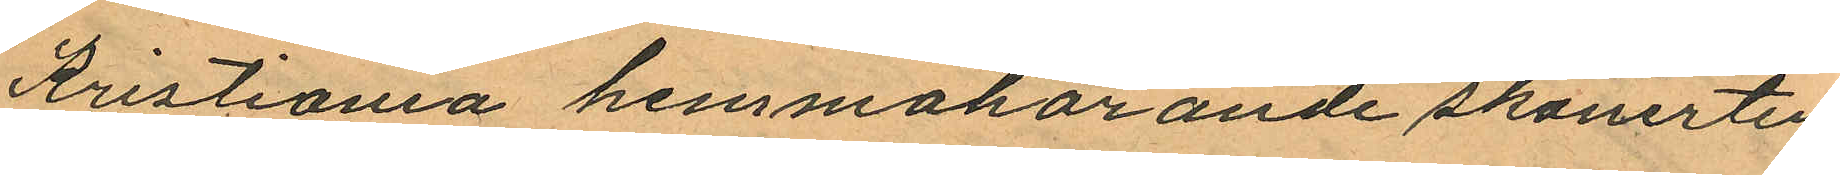Kristiania hemmahörande skonerten
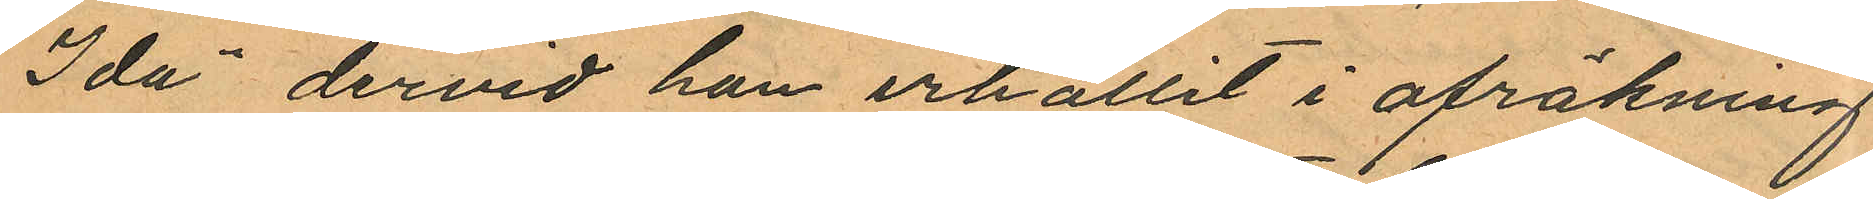"Ida" dervid han erhållit i afräkning
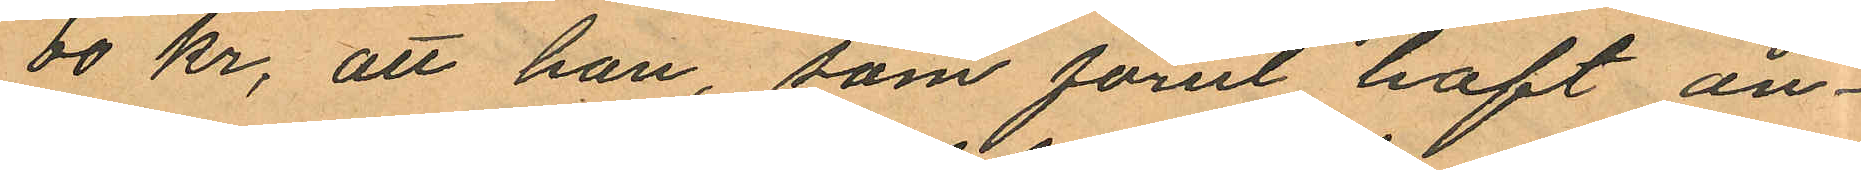60 kr, att han som förut haft an¬
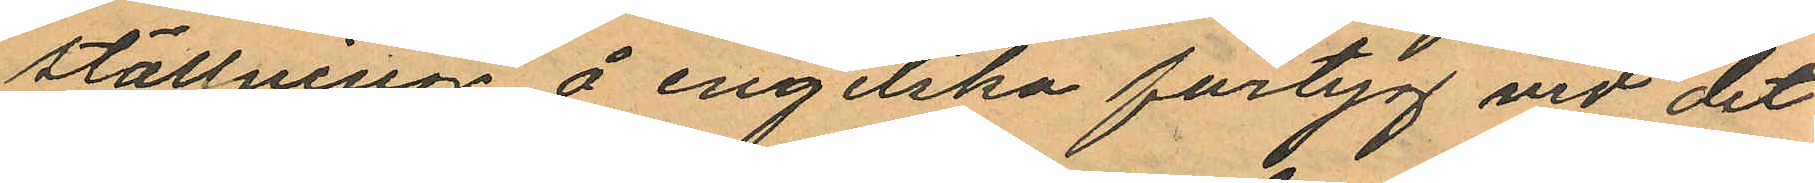ställning å engelska fartyg vid det
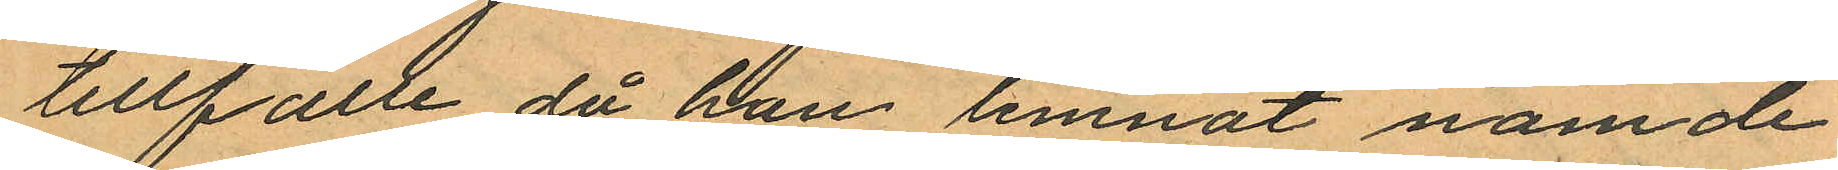tillfälle då han lemnat nämde
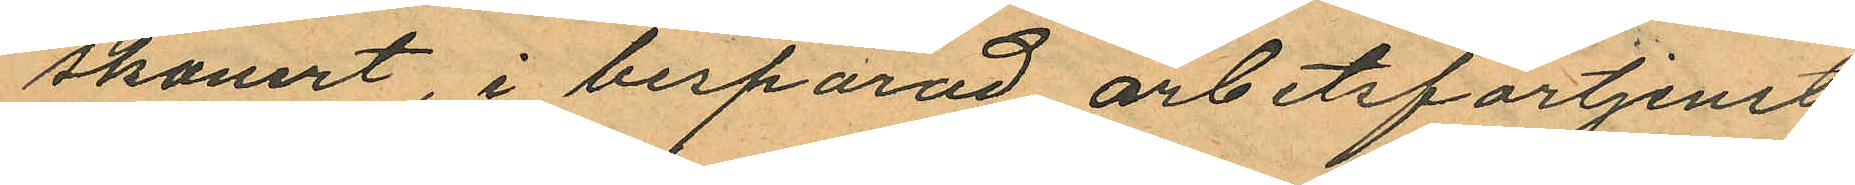skonert, i besparad arbetsförtjenst
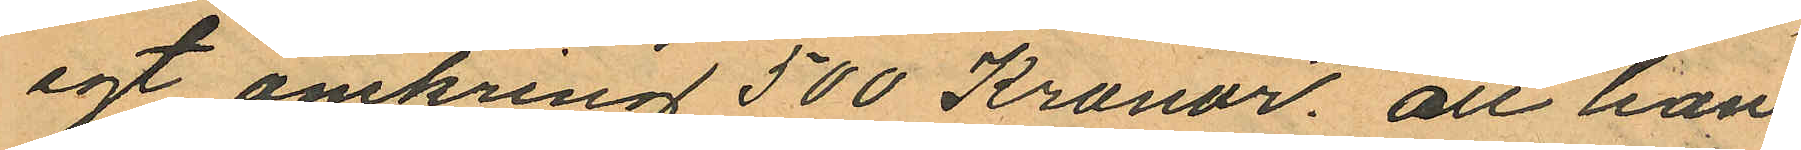egt omkring 500 Kronor. att han
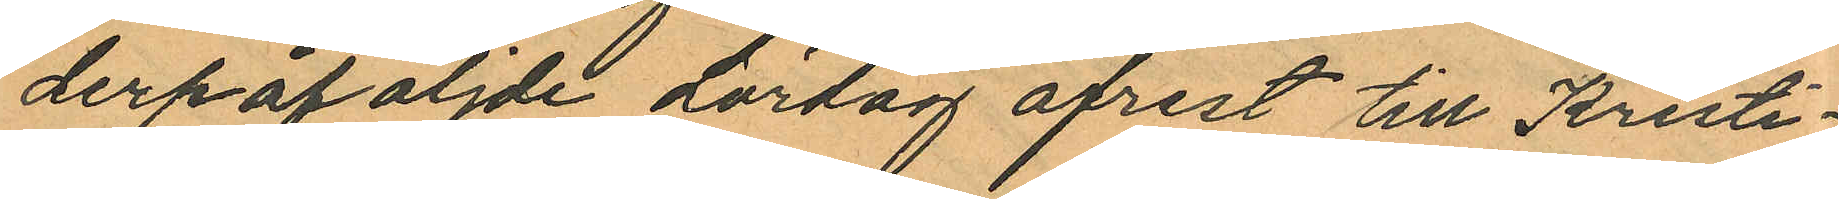derpåföljde Lördag afrest till Kristi¬
